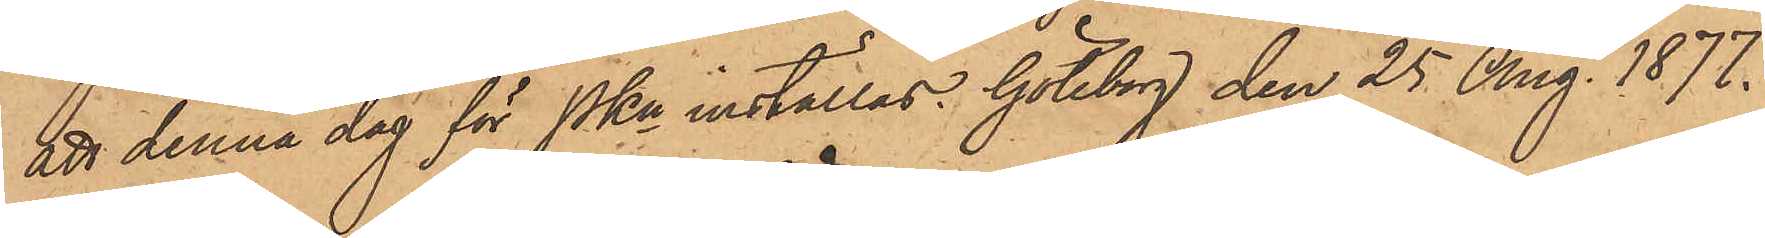att denna dag för Pkn inställas. Göteborg den 25 Aug. 1877.
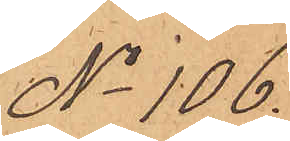No 106.
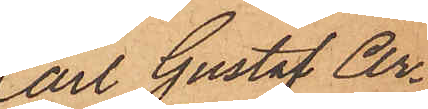Carl Gustaf Ar¬
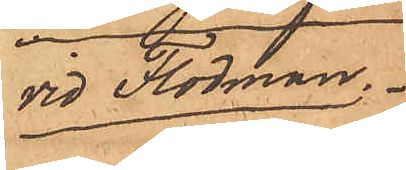vid Flodman.
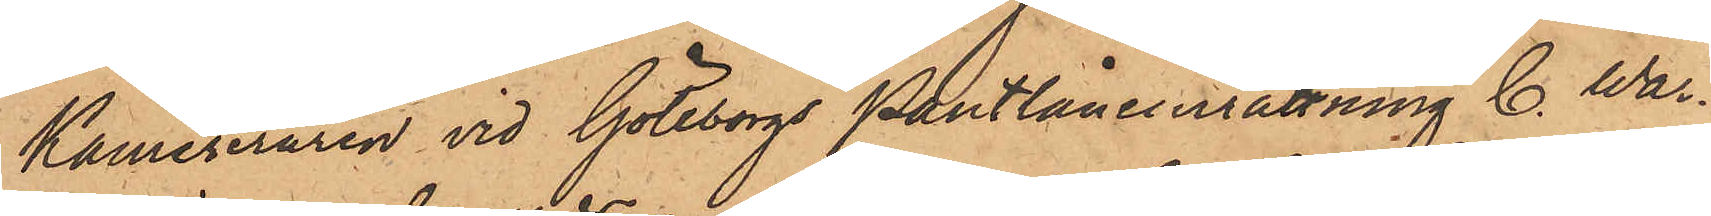Kamreraren vid Göteborgs Pantlåneinrättning C. War¬
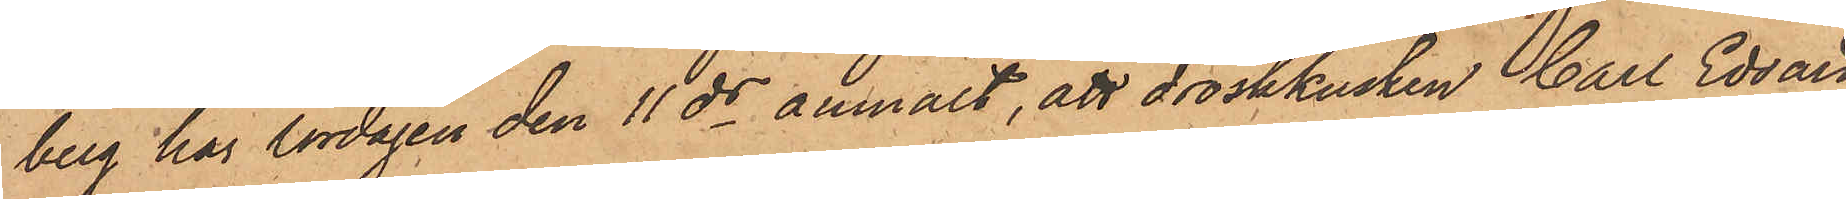berg har lördagen den 11 ds anmält, att droskkusken Carl Edvard
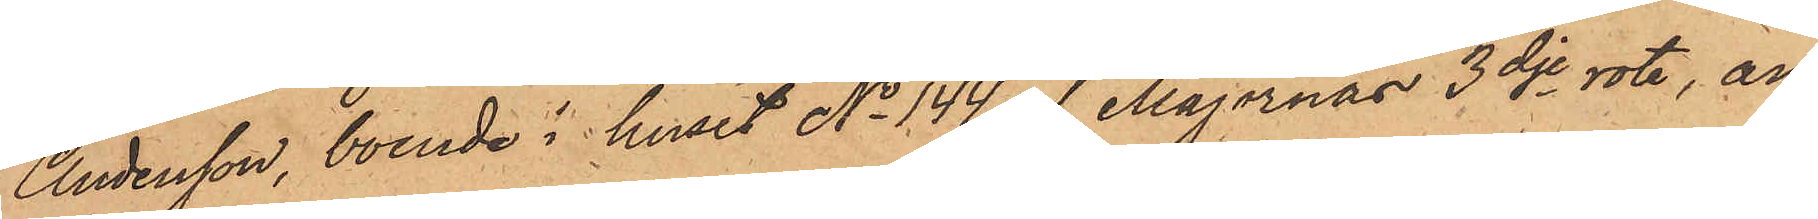Andersson, boende i huset No 144 af Majornas 3dje rote, an¬
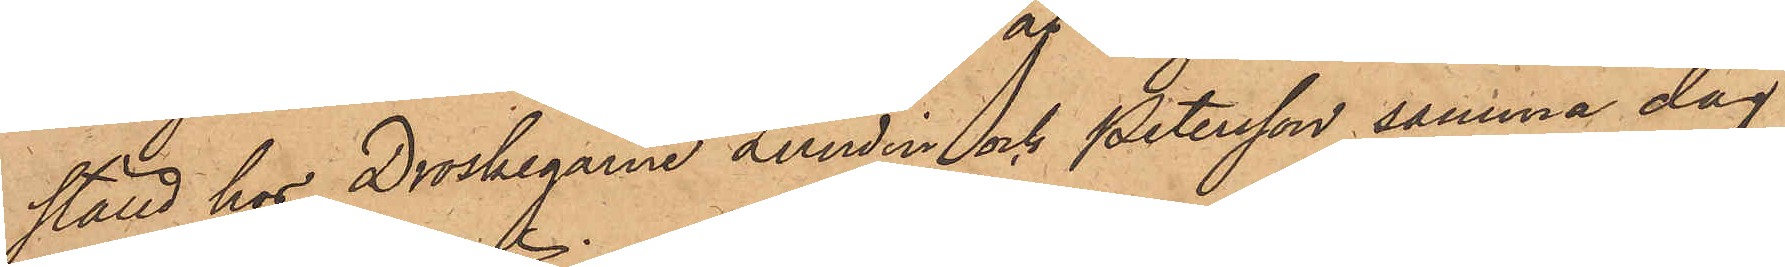ställd hos Droskegarne Lundin och Petersson samma dag
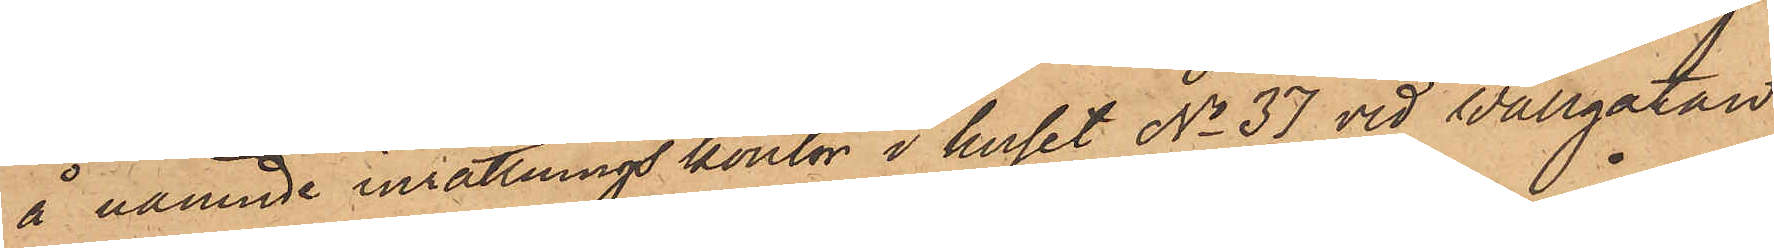å nämnde inrättnings kontor i huset No 37 vid Wallgatan
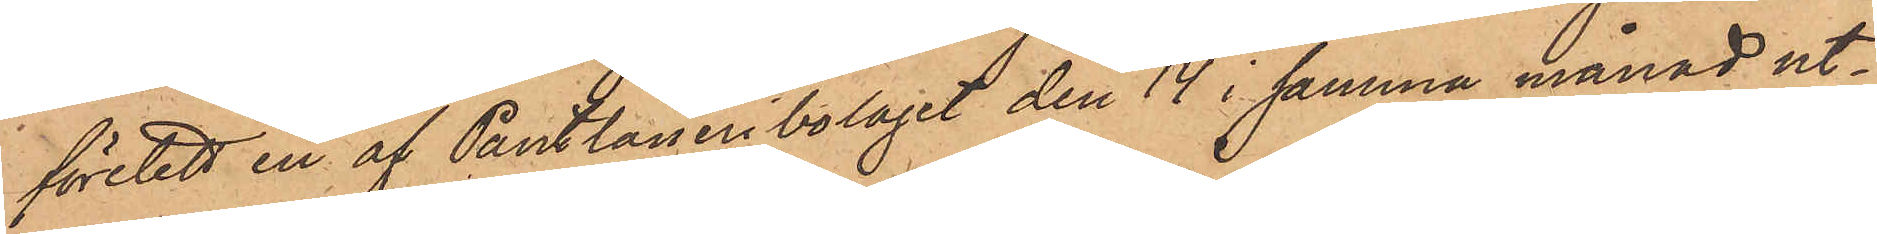företett en af Pantlåneribolaget den 14 i samma månad ut¬
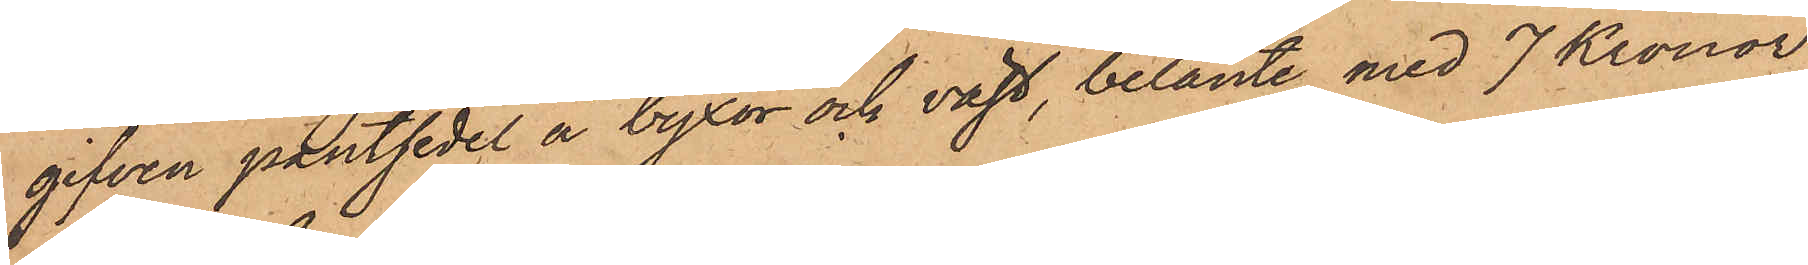gifven pantsedel å byxor och väst, belånte med 7 Kronor
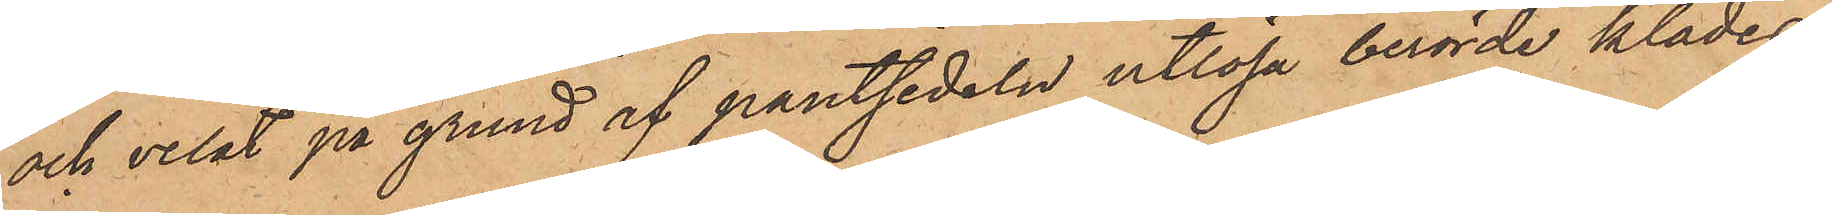och velat på grund af pantsedeln utlösa berörde klädes¬
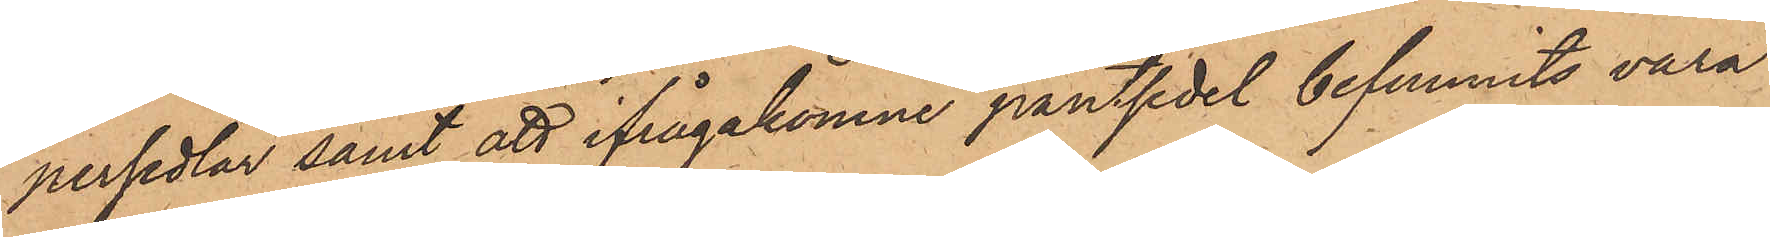persedlar samt att ifrågakomne pantsedel befunnits vara
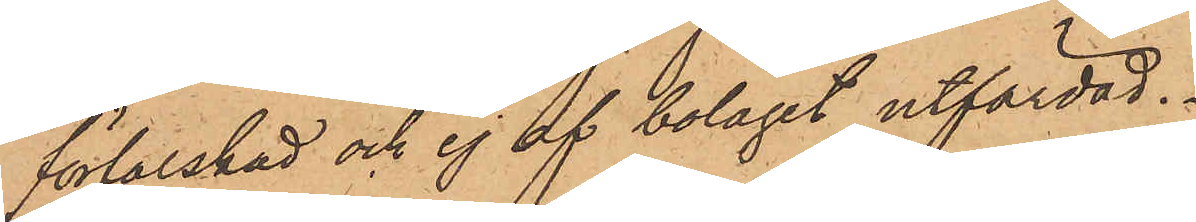förfalskad och ej af bolaget utfärdad.
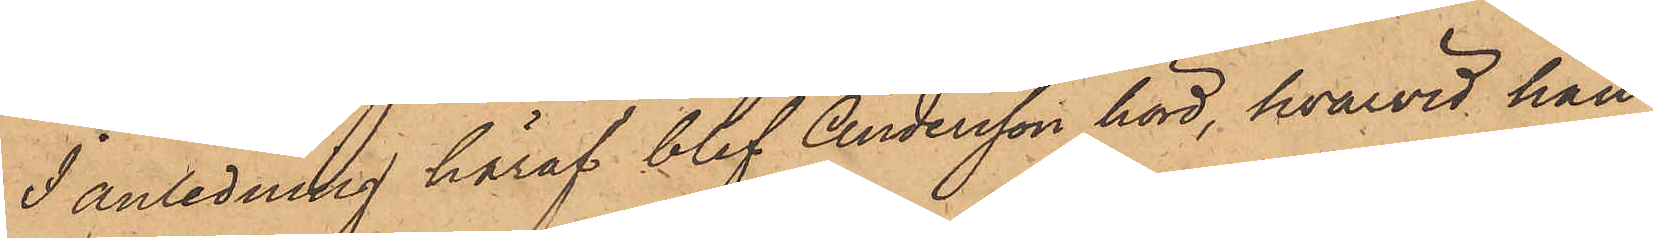I anledning häraf blef Andersson hörd, hvarvid han
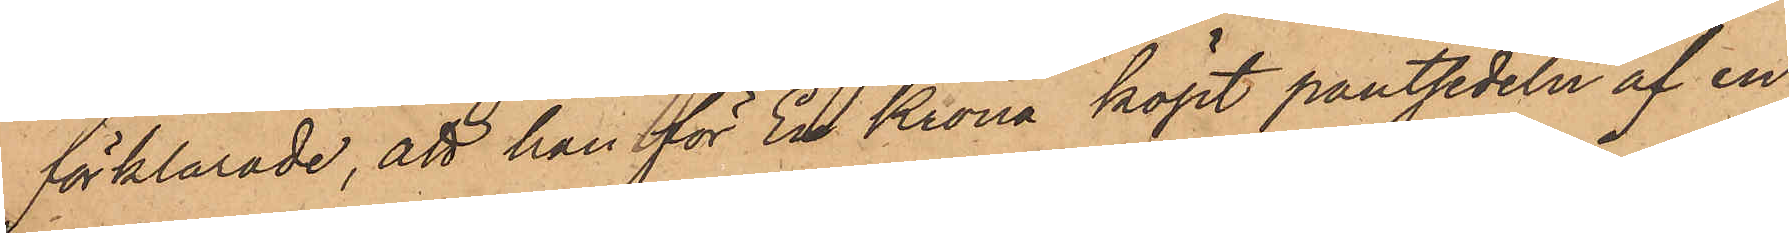förklarade, att han för En Krona köpt pantsedeln af en
